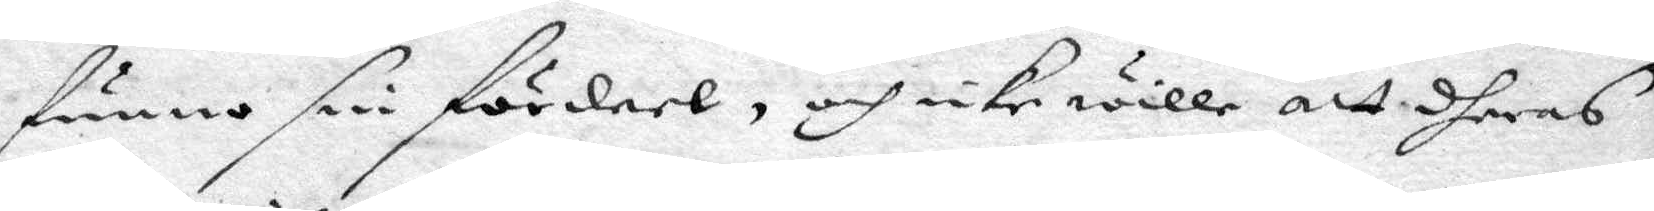funno sin fördeel, och icke wille att dheras
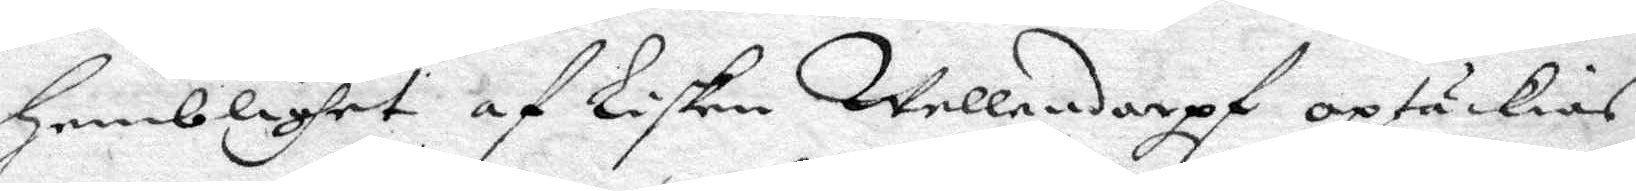hemblighet af Lisken Wellandorff optäckias
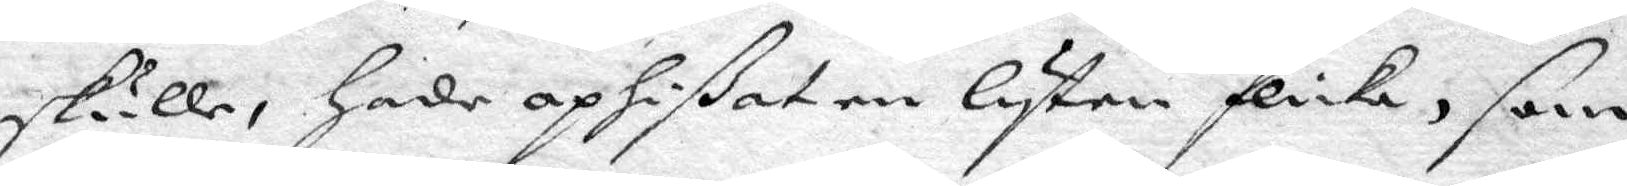skulle, hade ophiat en lyten Flicka, som
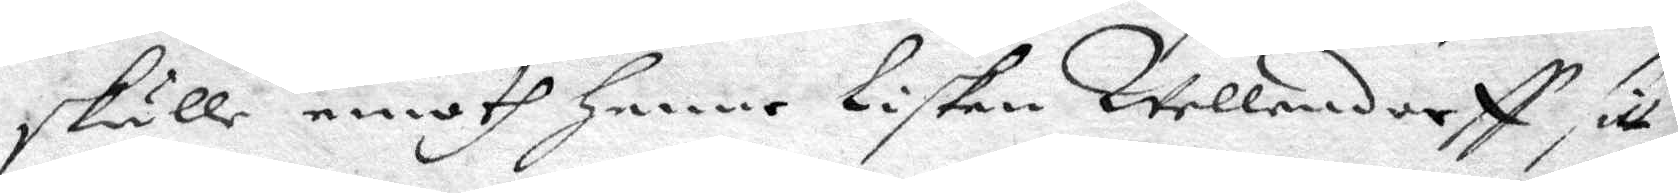skulle emoth henne Lisken Wellendorff sitt
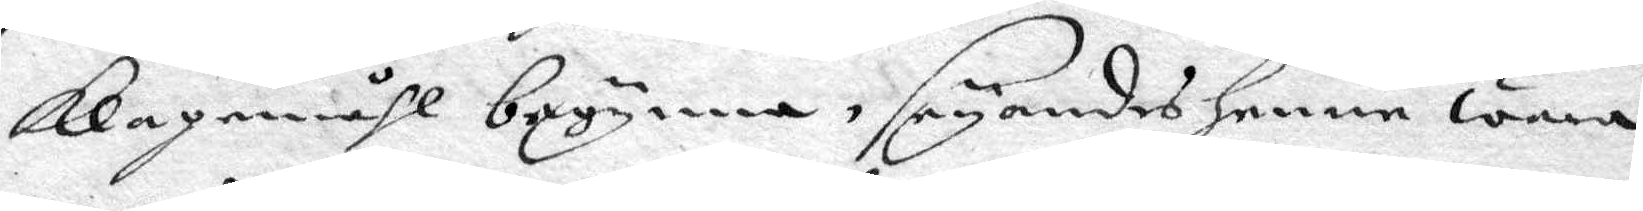klagomåhl begynna, seyandes henne wara
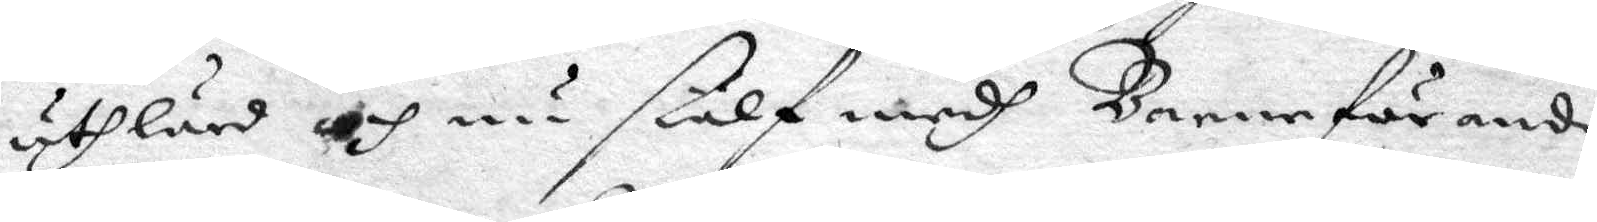uthlärd och nu siälf medh Barnaförande
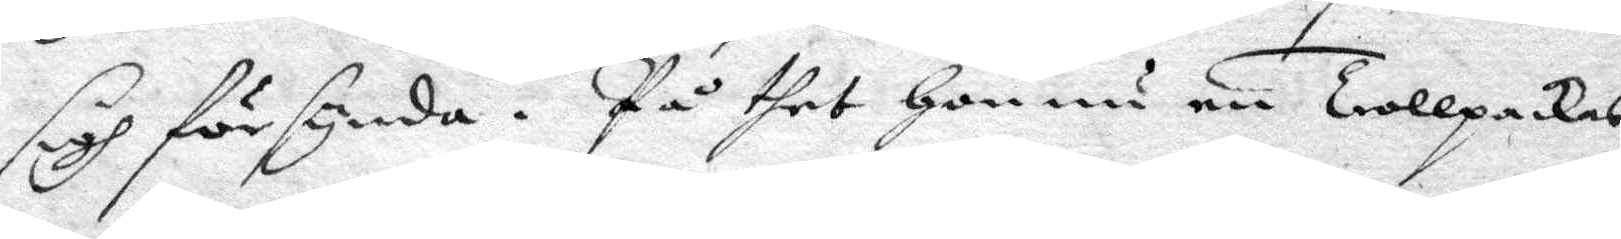sigh försynda. På thet hon nu en Trollpackas
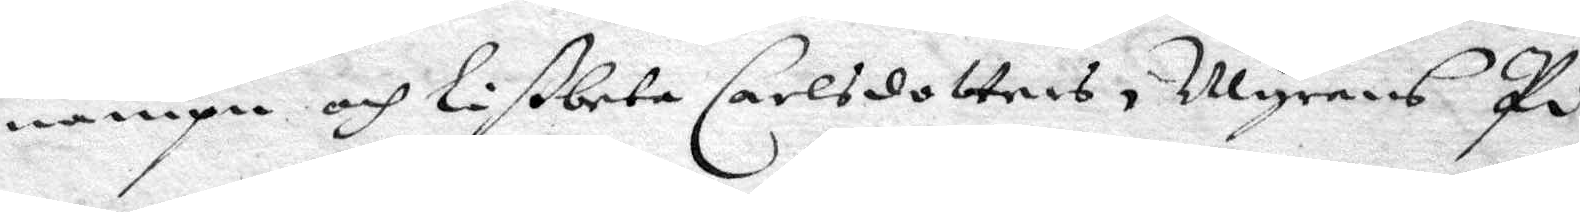nampn och Libeta Carlsdotters, Myrens Pi¬
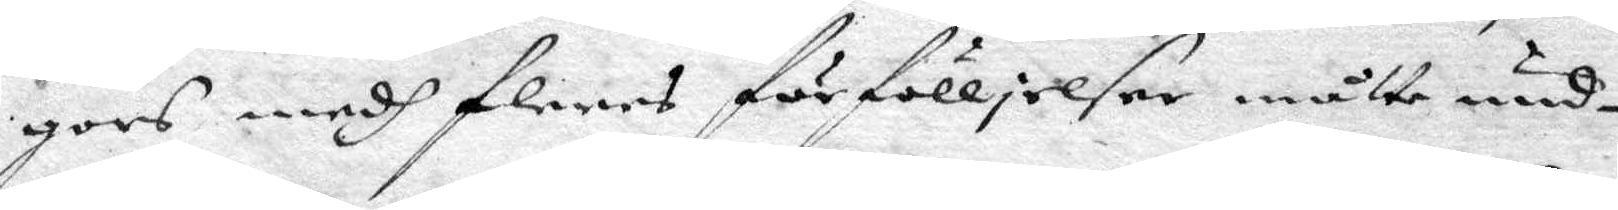gors medh fleres förfölljelser måtte und¬
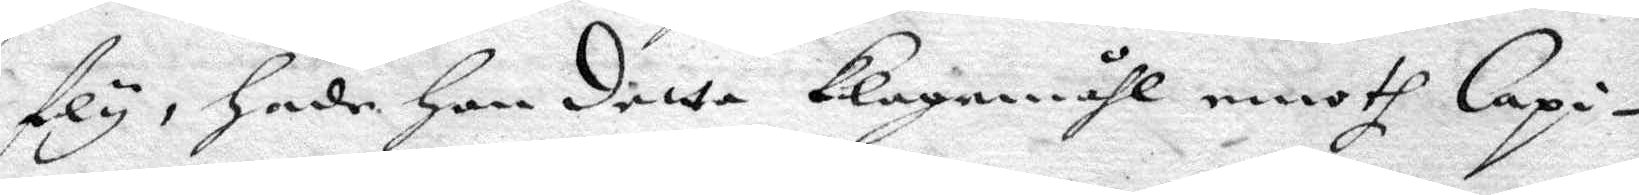fly, hade hon detta klagomåhl emoth Capi¬
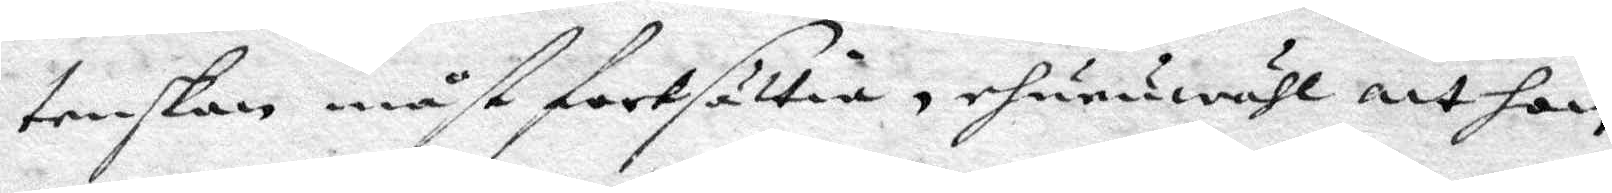tenskan måst fortsättia, ehuruwähl att hon
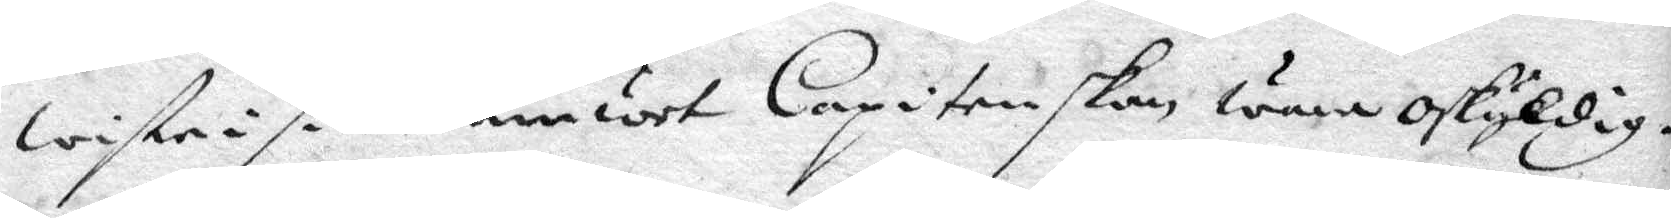wiste i sitt Samwet Caoitenskan wara oskyldig.
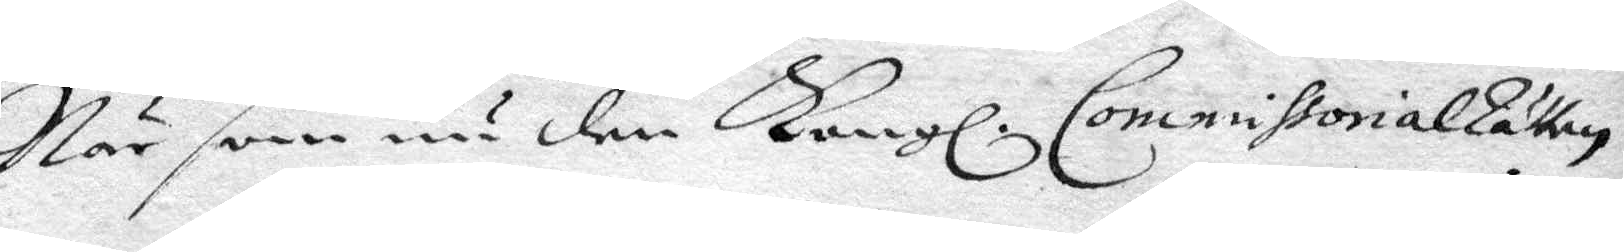När som nu den Kongl. CommissorialRätten
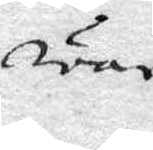war
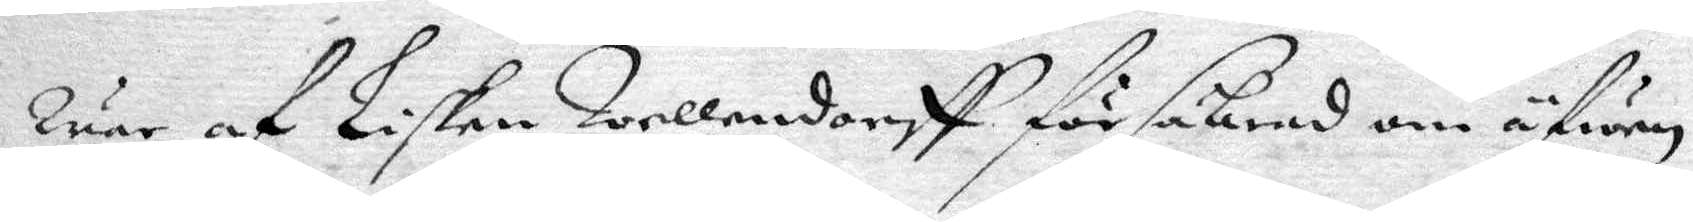war af Lisken Wellendorff försäkrad om äfwen
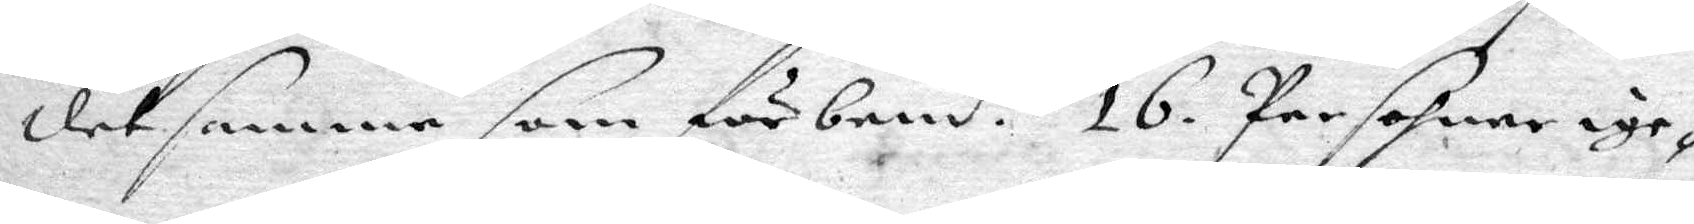det samma som förbemd.e 16 Persohner ige¬
